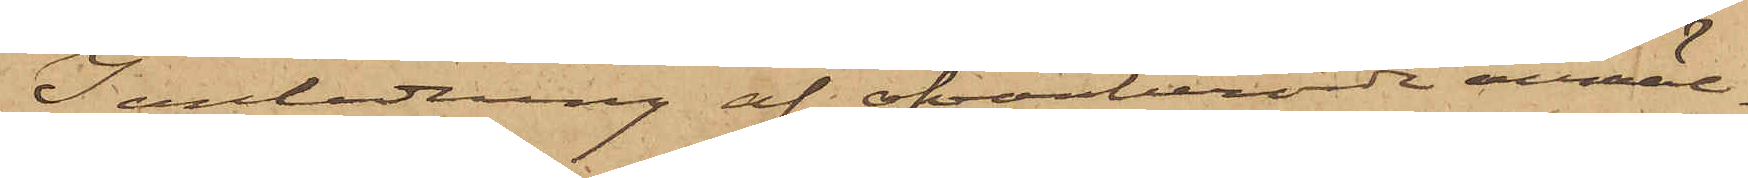I anledning af ofvanberörde anmäl¬
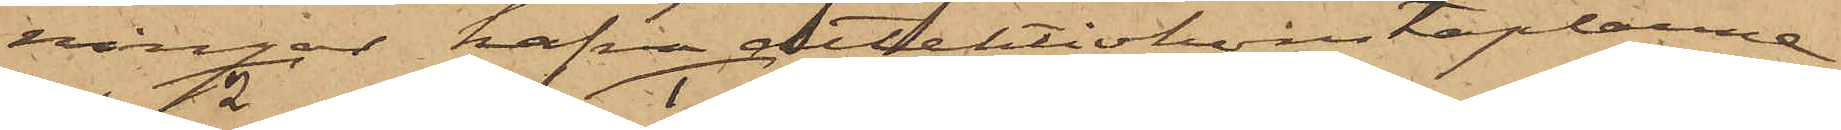ningar hafva detektivkonstaplarne
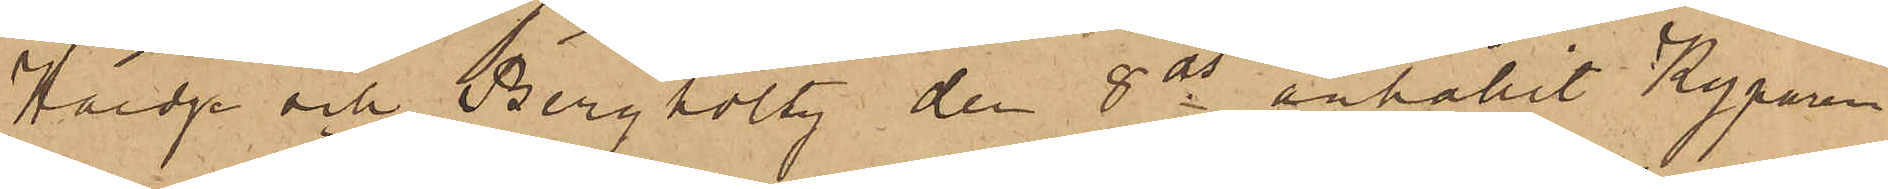Hoedge och Bergholtz den 8 ds anhållit Kyparen
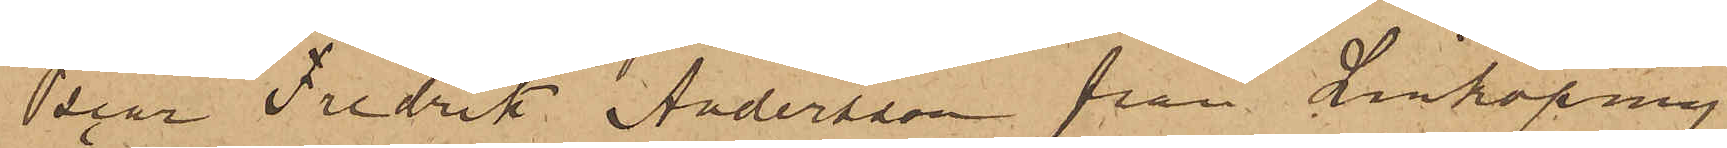Oscar Fredrik Andersson från Linköping,
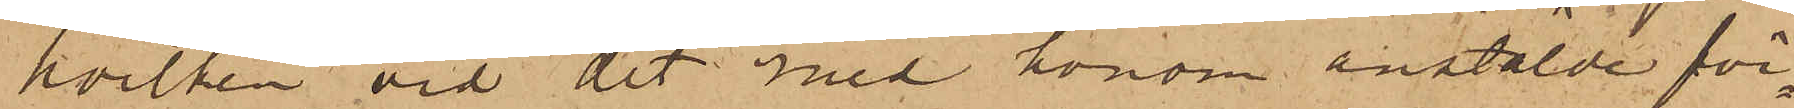hvilken vid det med honom anstälde för¬
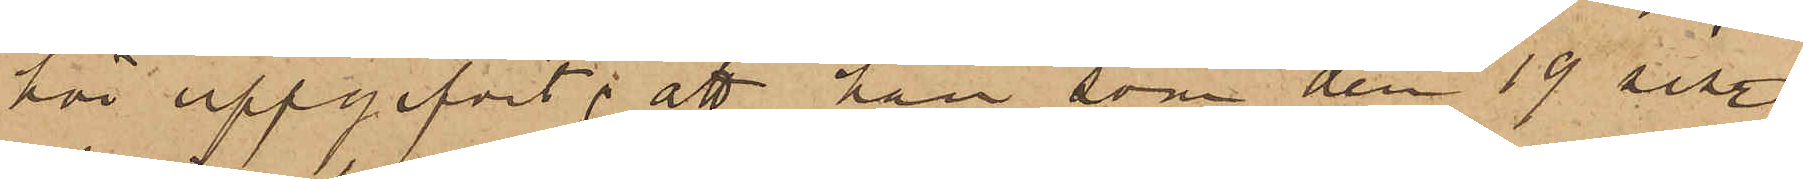hör uppgifvit; att han, som den 19 sist.
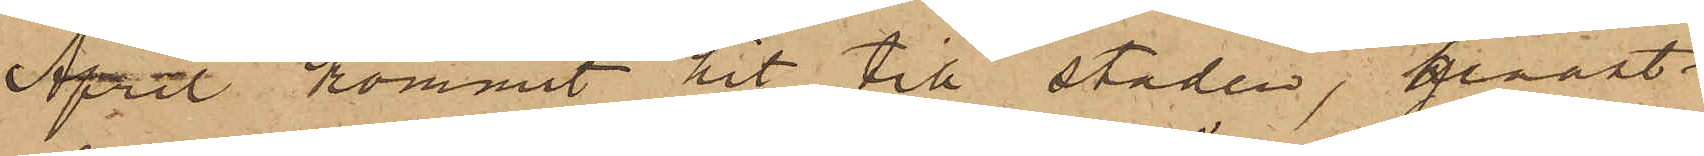April kommit hit till staden, genast
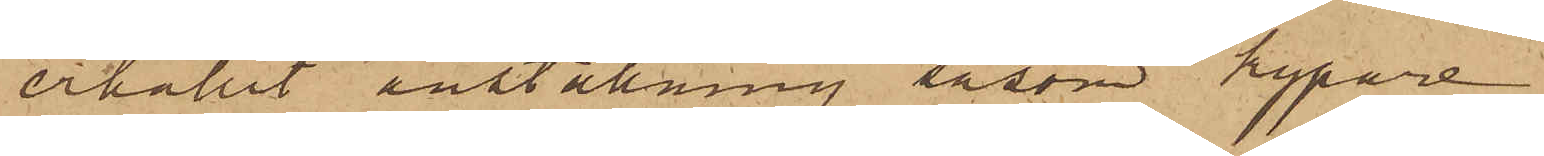erhållit anställning såsom kypare
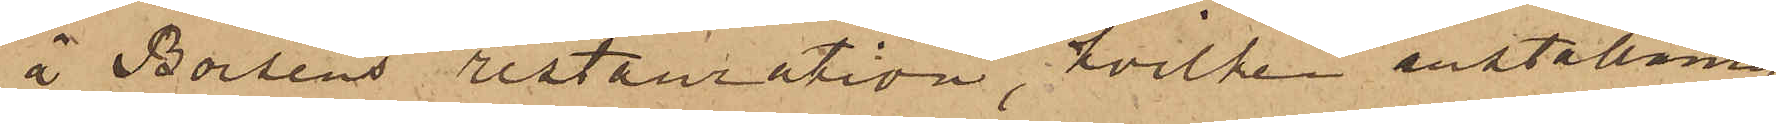å Börsens restauration, hvilken anställning
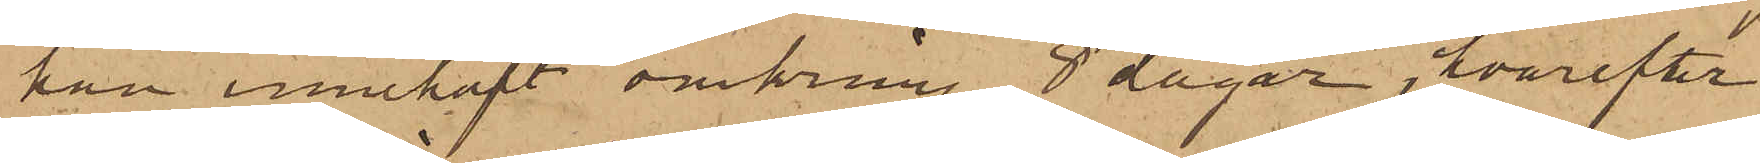han innehaft omkring 8 dagar, hvarefter
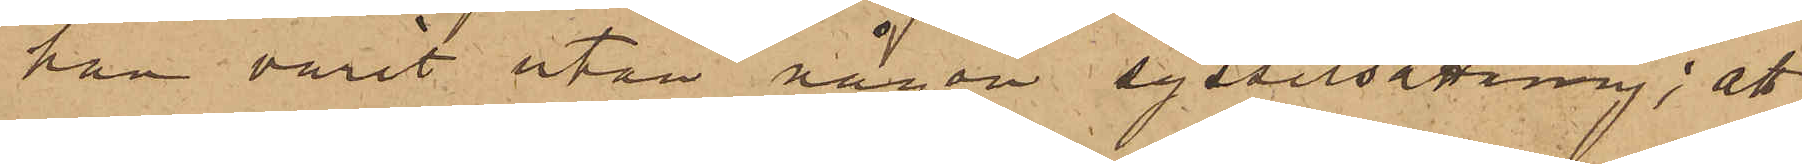han varit utan någon sysselsättning; att
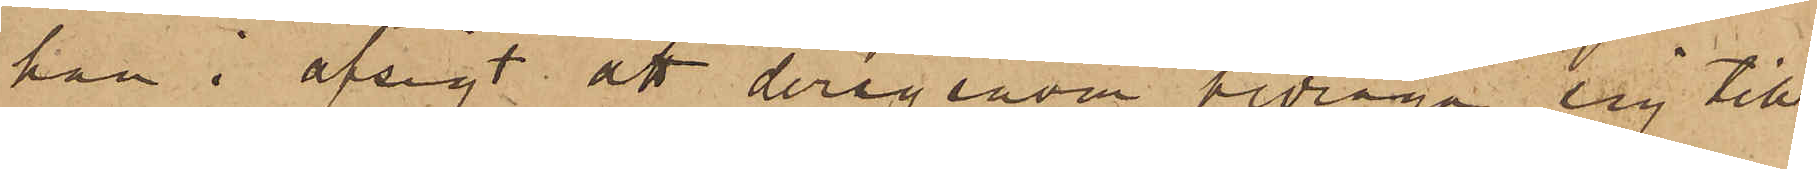han i afsigt att derigenom bedraga sig till
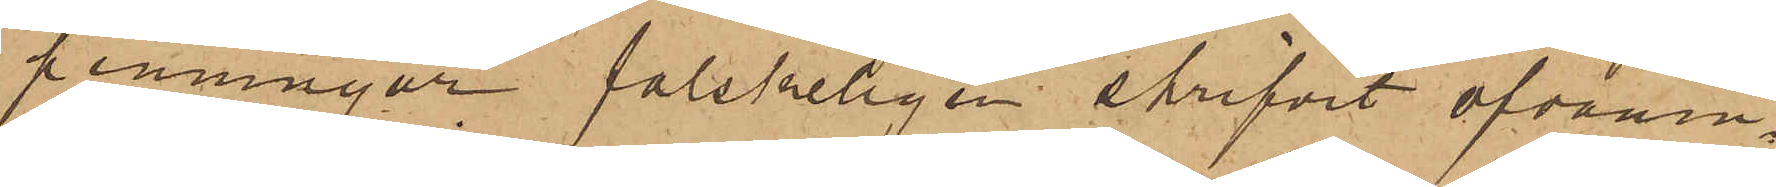penningar falskeligen skrifvit ofvanin¬
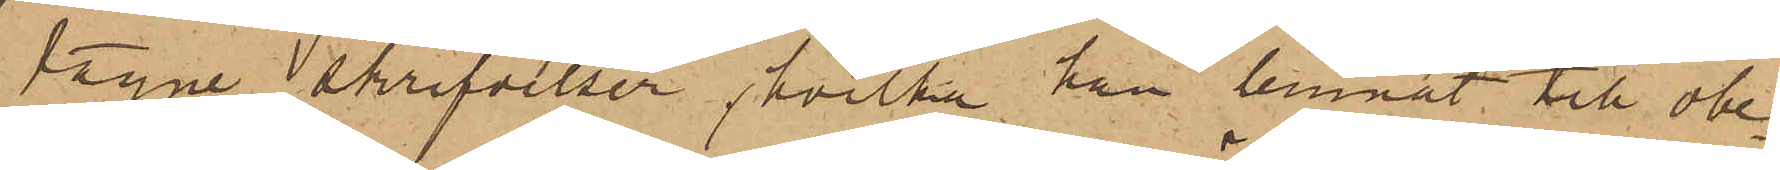tagne skrifvelser, hvilka han lemnat till obe¬
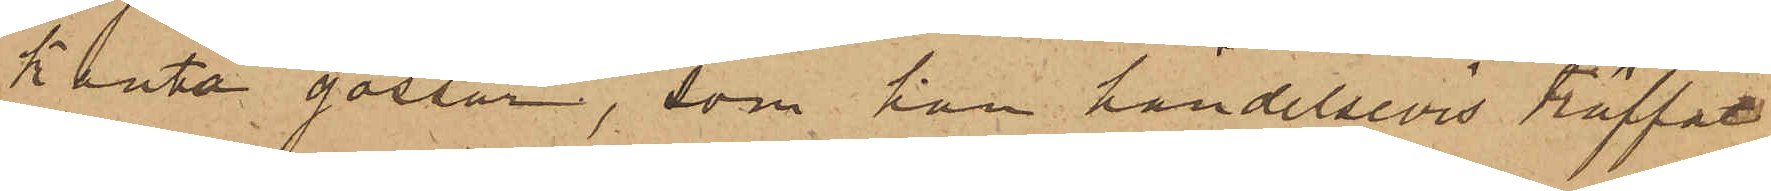kanta gossar, som han händelsevis träffat
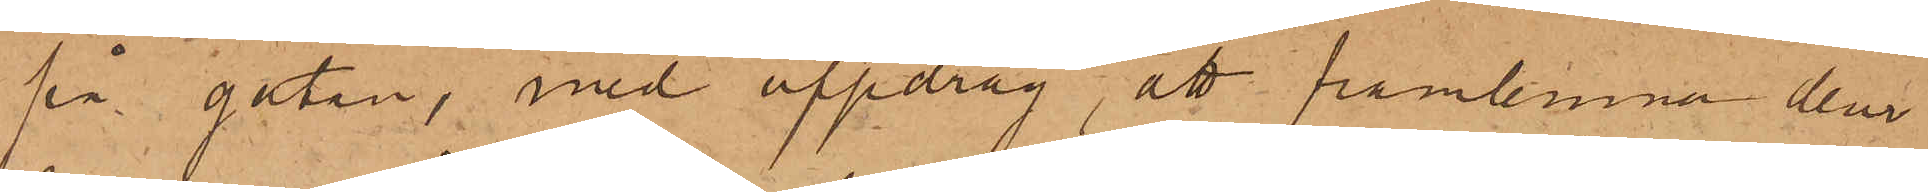på gatan, med uppdrag, att framlemna dem
